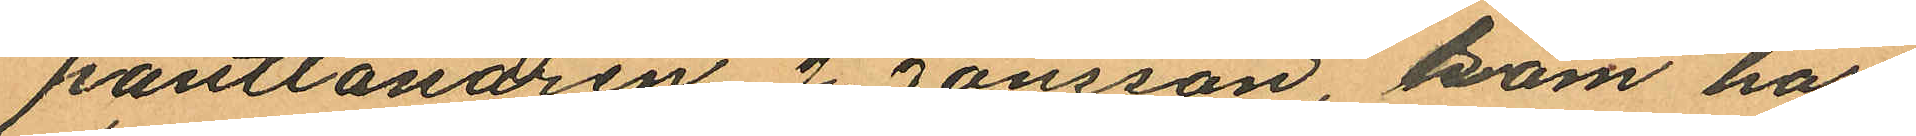pantlånaren J. Jansson, som har
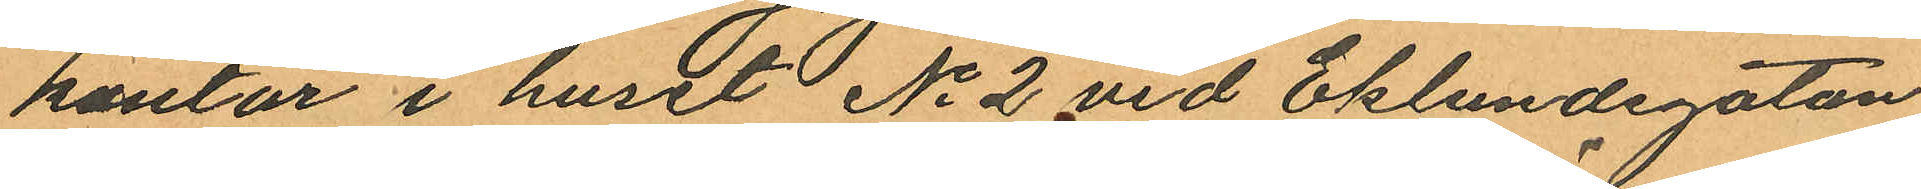kontor i huset No 2 vid Eklundsgatan
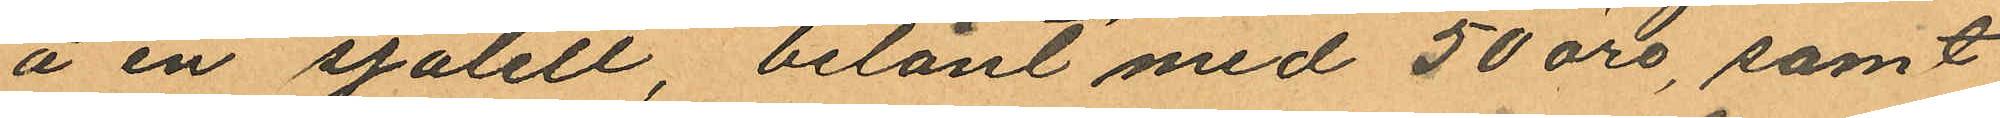å en sjalett belånt med 50 öre, samt
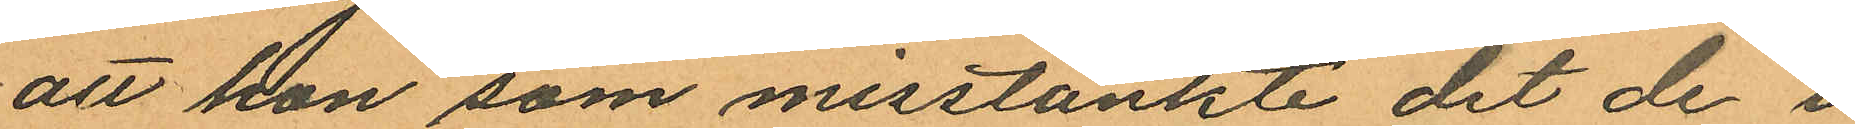att hon som misstänkte det de i
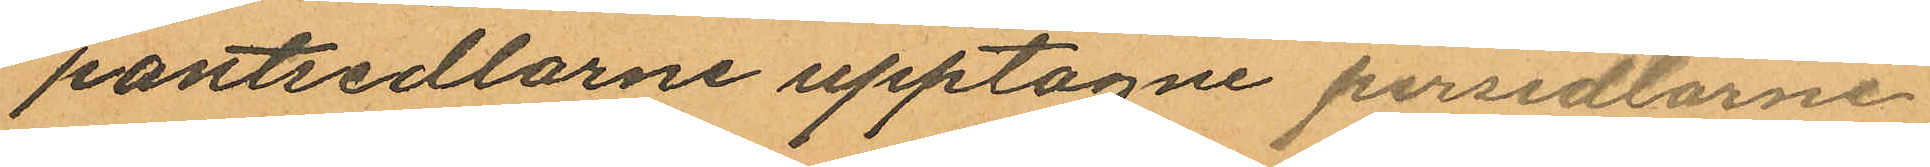pantsedlarne upptagne persedlarne
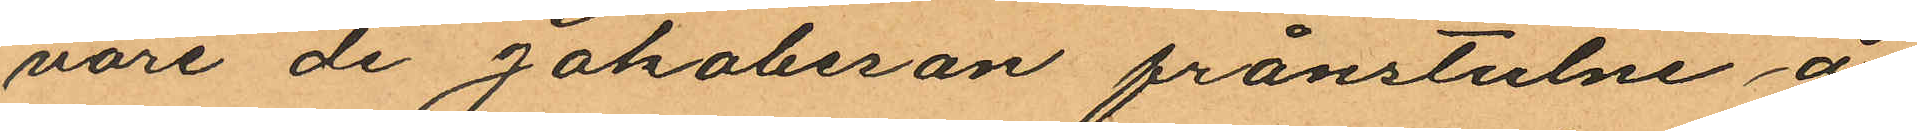vore de Jakobsson frånstulne å
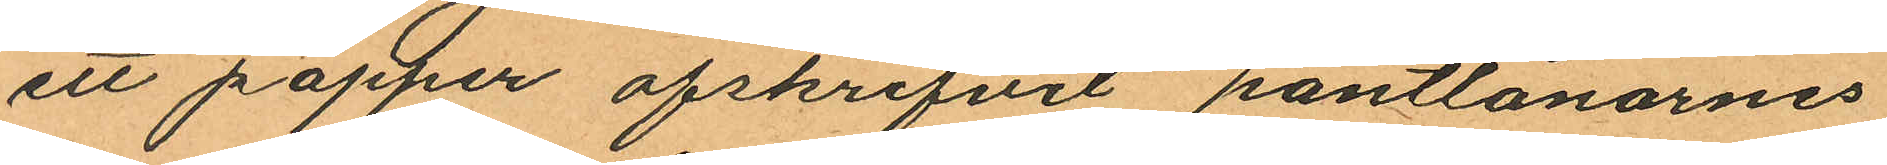ett papper afskrifvit pantlånarnes
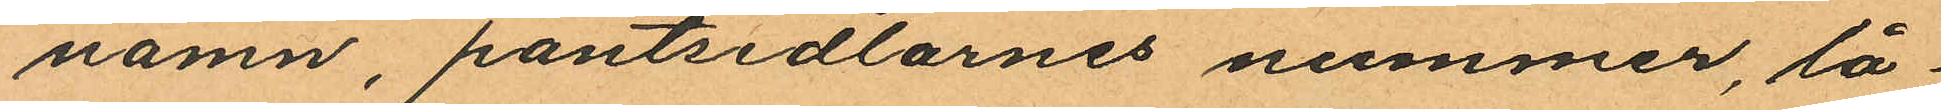namn, pantsedlarnes nummer, lå¬
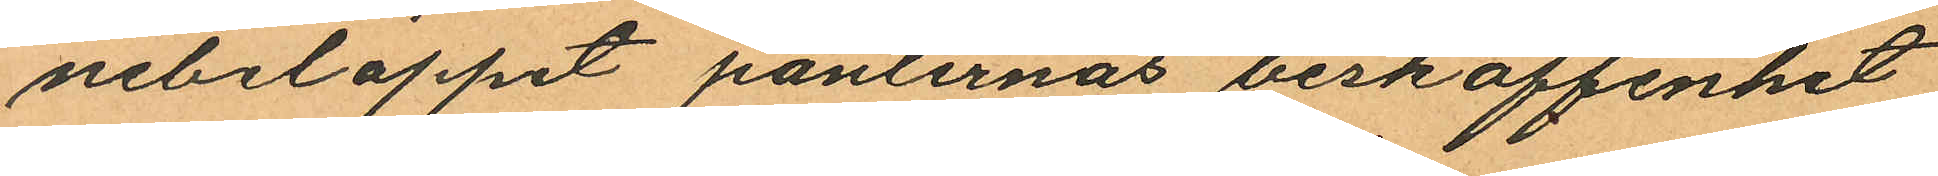nebeloppet panternas beskaffenhet
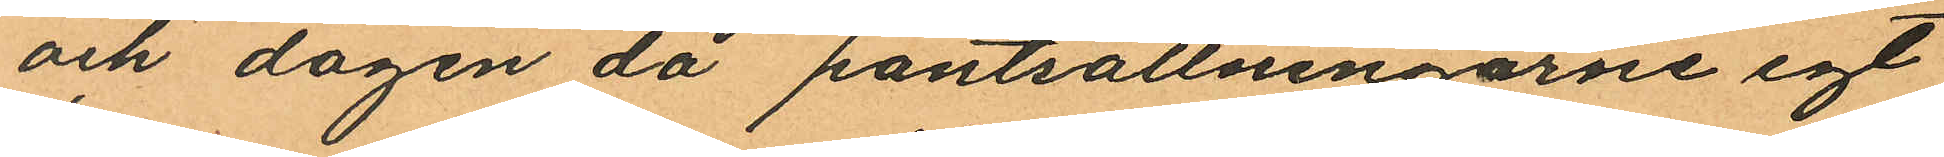och dagen då pantsättningarne egt
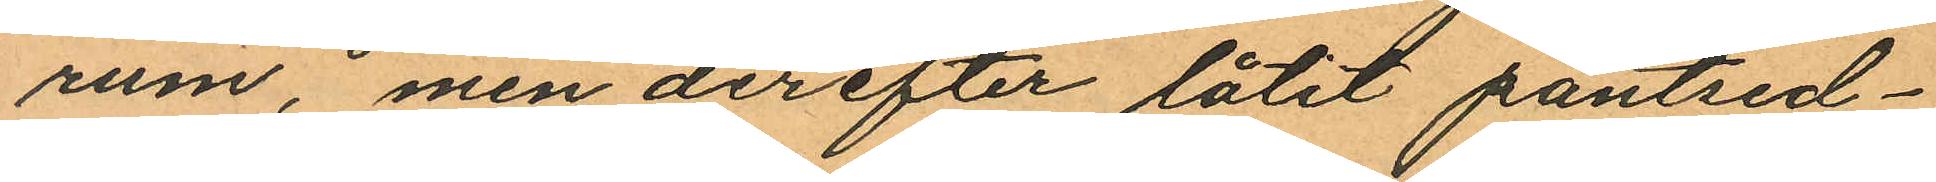rum, men derefter låtit pantsed¬
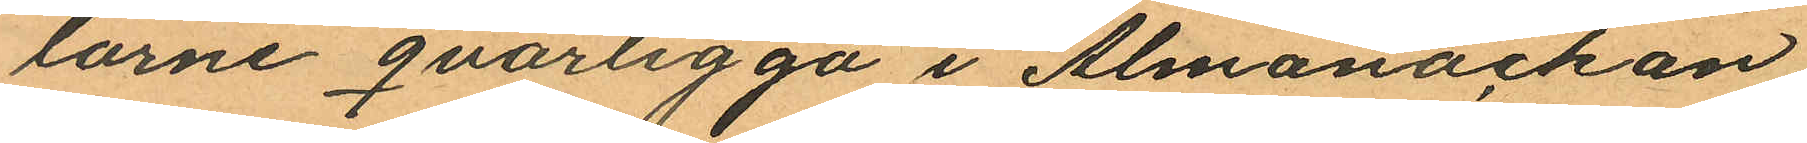larne qvarligga i Almanackan
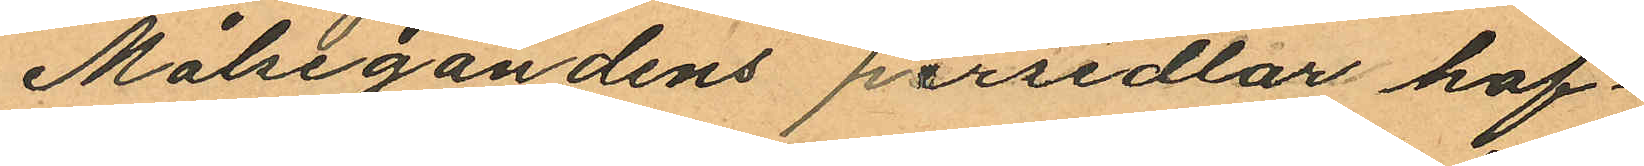Målsegandens persedlar haf¬
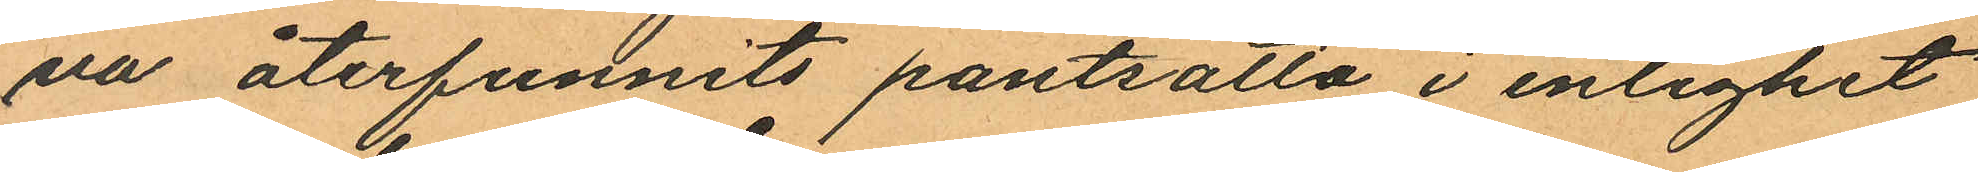va återfunnits pantsatta i enlighet
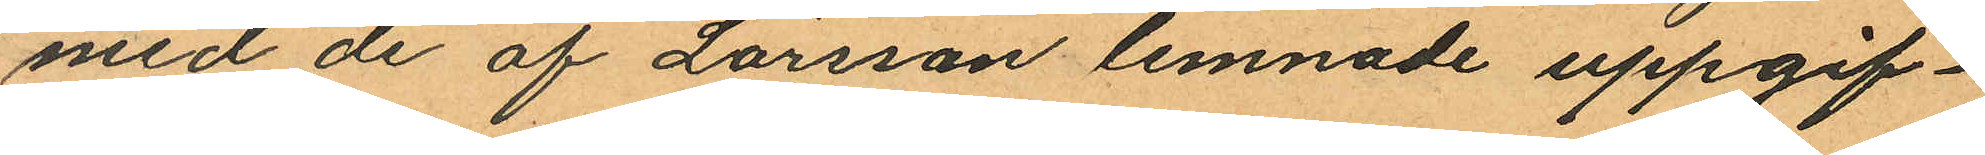med de af Larsson lemnade uppgif¬
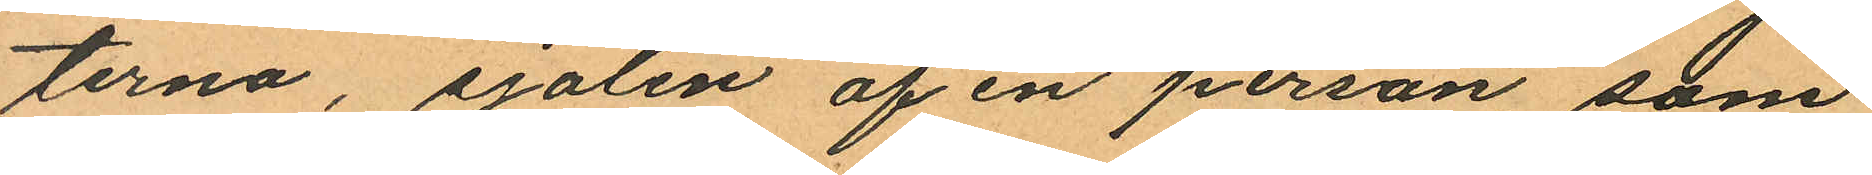terna, sjalen af en person som
